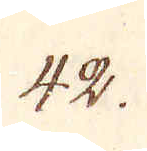42.
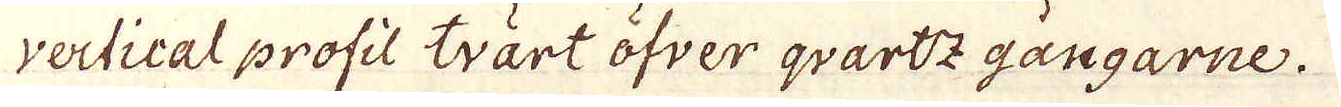vertical profil tvärt öfver qvartz gångarne.
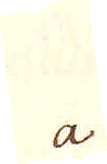a
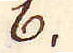b.
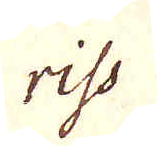riss
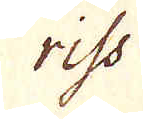riss
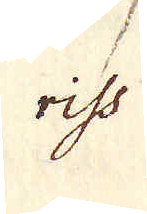riss
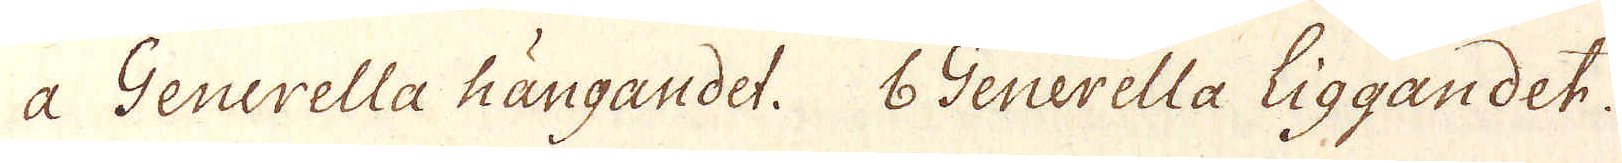a Generella Hängandet. 6 Generella Liggandet.
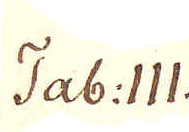Tab. III.
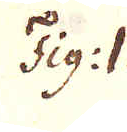Fig: I.
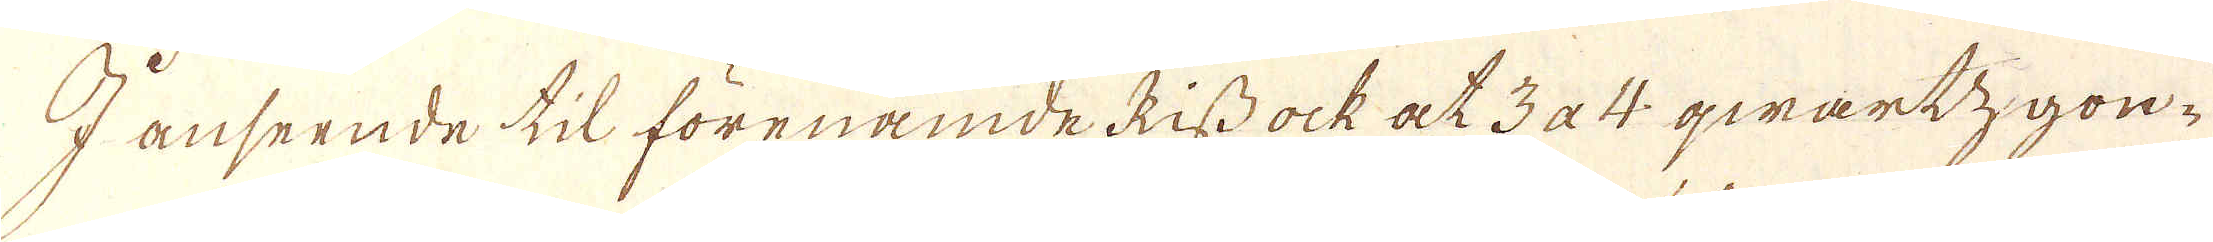I anseende til förenämde Riss ock at 3 a 4 qwartzgon-
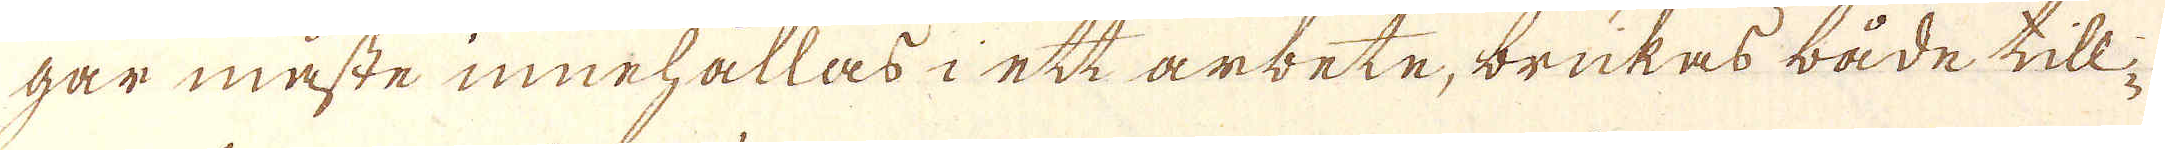gar måste innehållas i ett arbete, brukas både till-
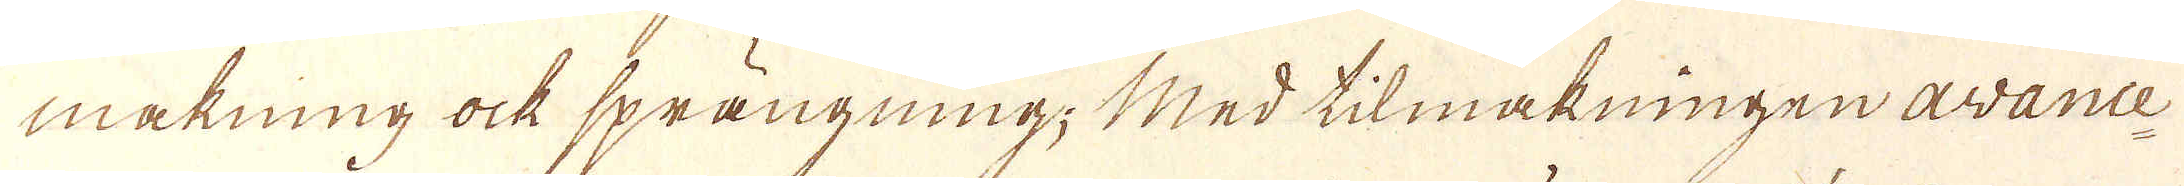makning ock sprängning; Med tilmakningen avance-
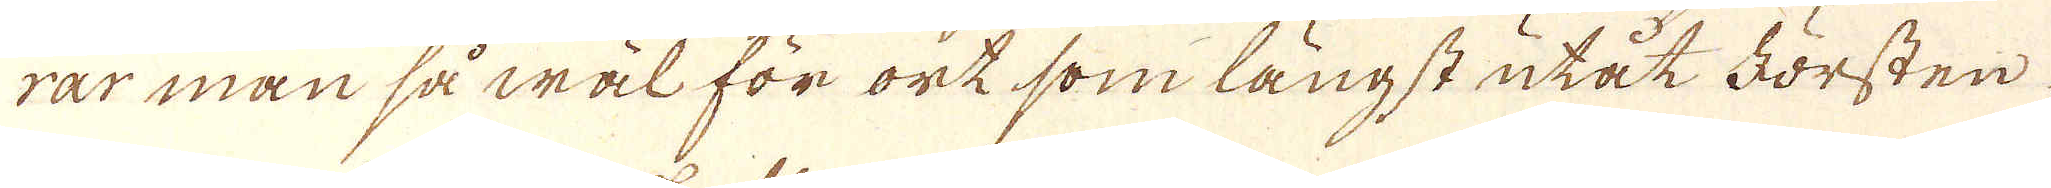rar man så wäl för ort som längst utåt Försten
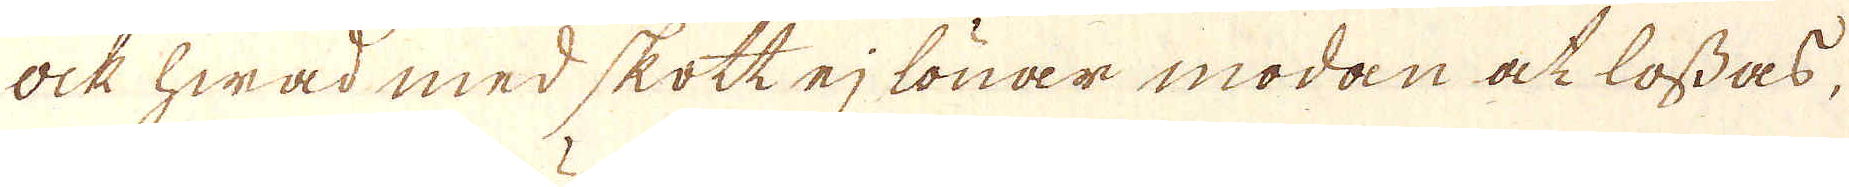Ock hwad med skott ej lönar modan at lossas,
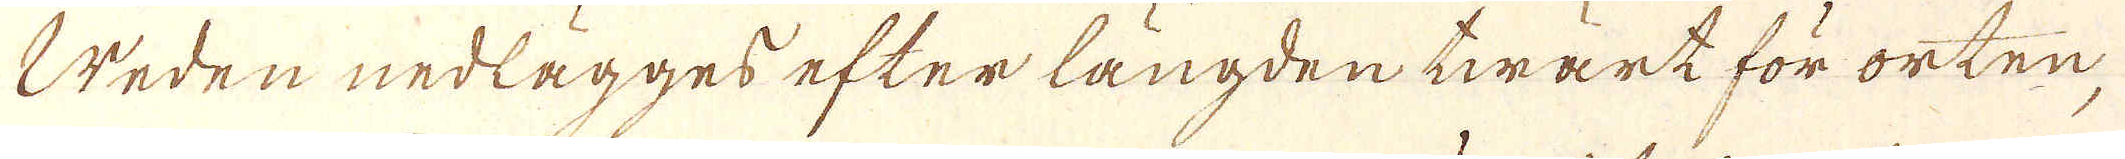Weden nedlägges efter längden twärt för orten,
